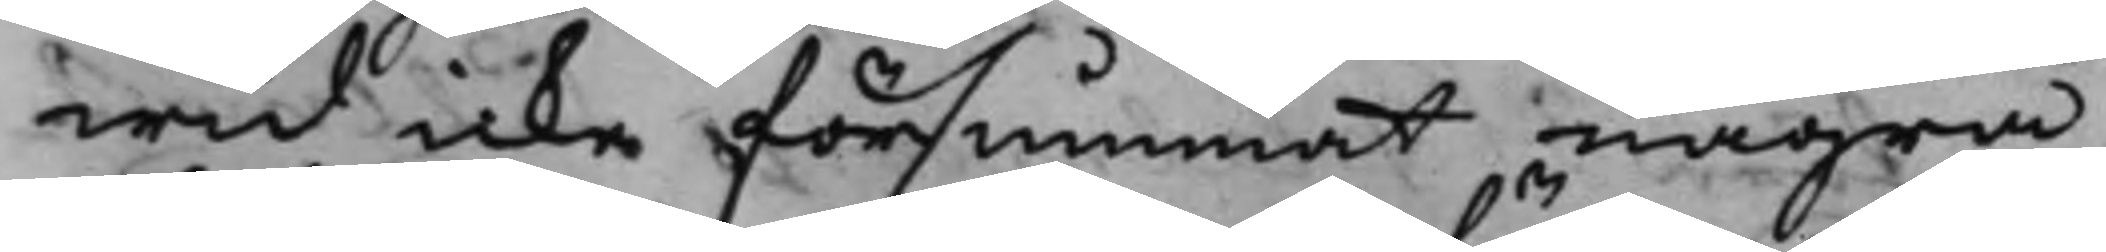wid icke försummat några
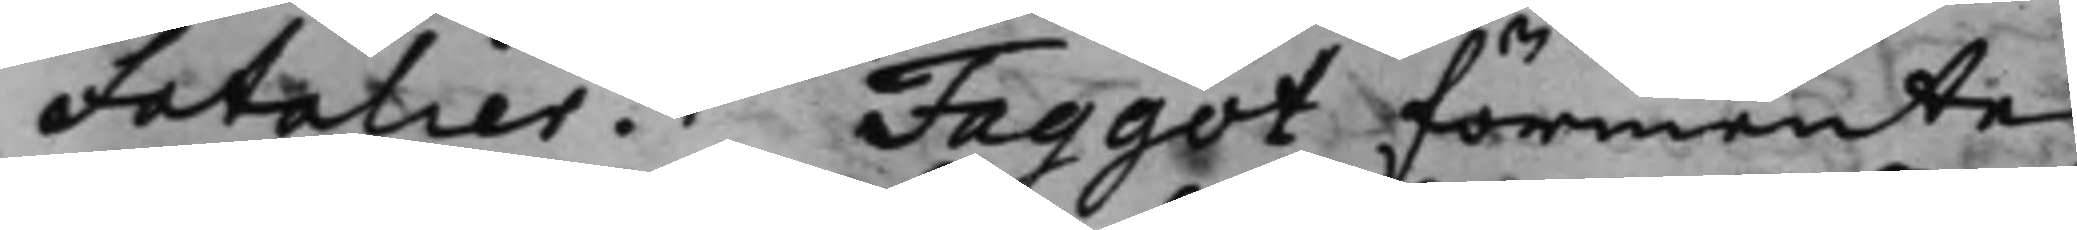Fatalier. Faggot förmente,
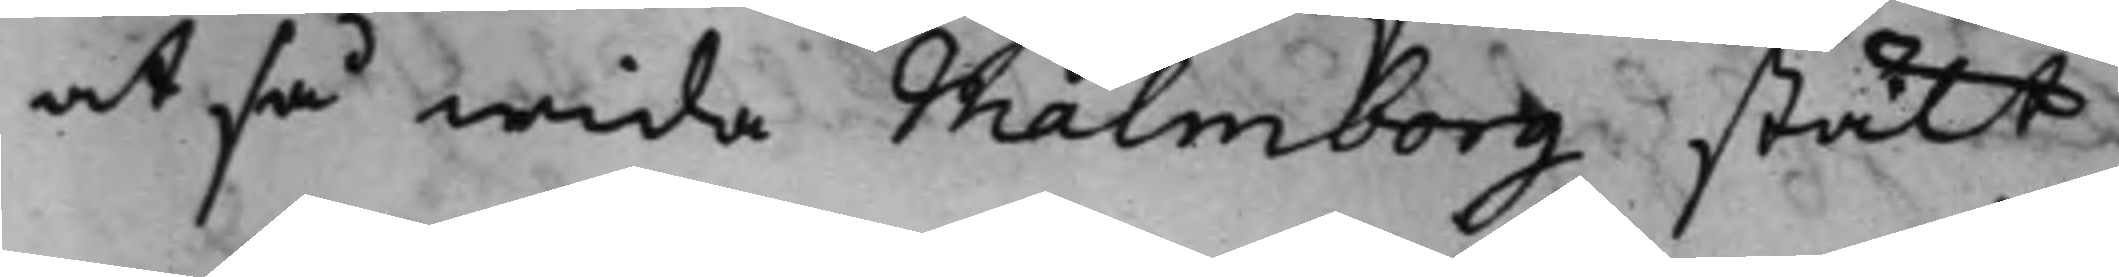at så wida Malmborg stält
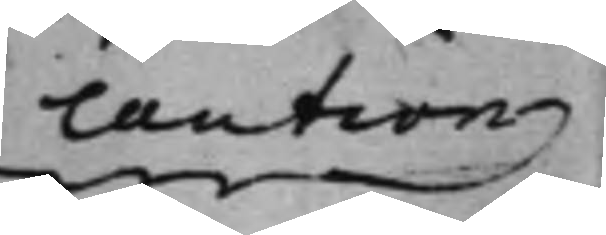caution
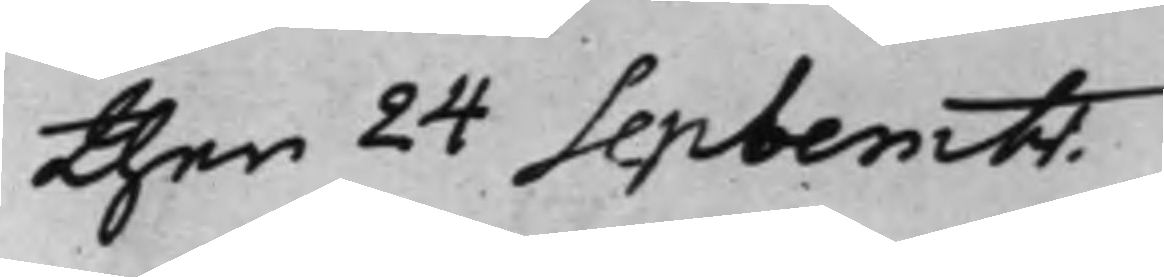then 24 Septembr.
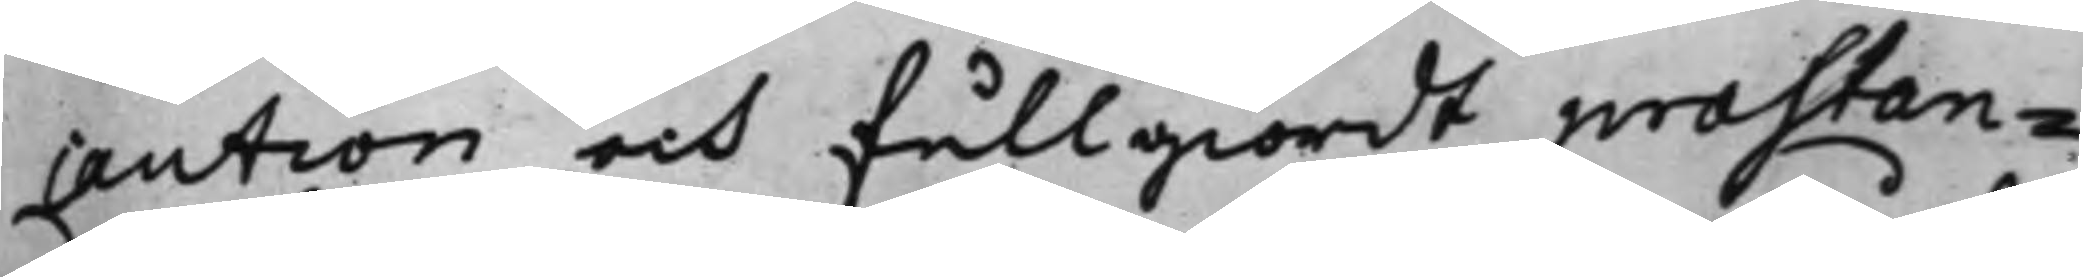caution och fullgiordt præstan¬
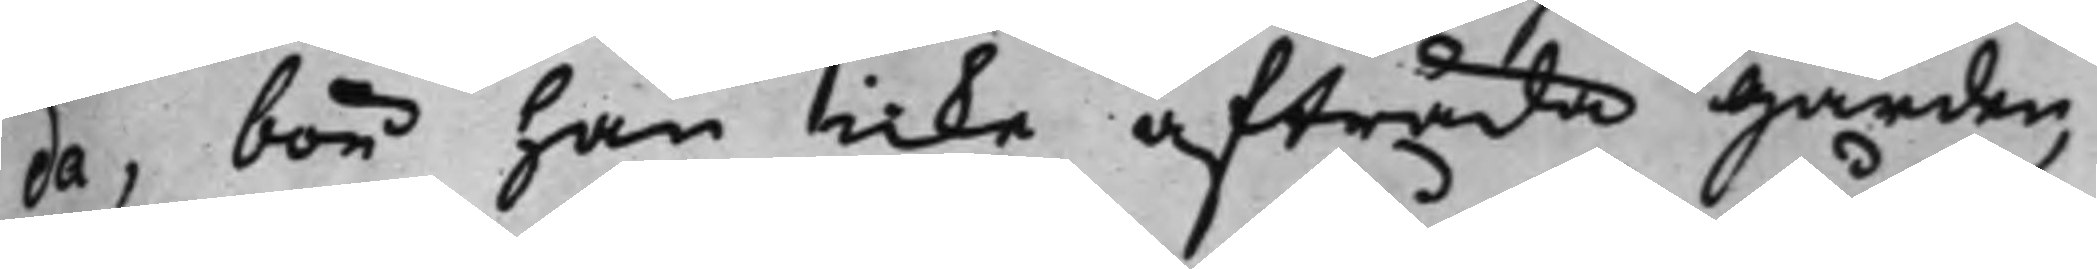da, bör han icke afträda Gården,
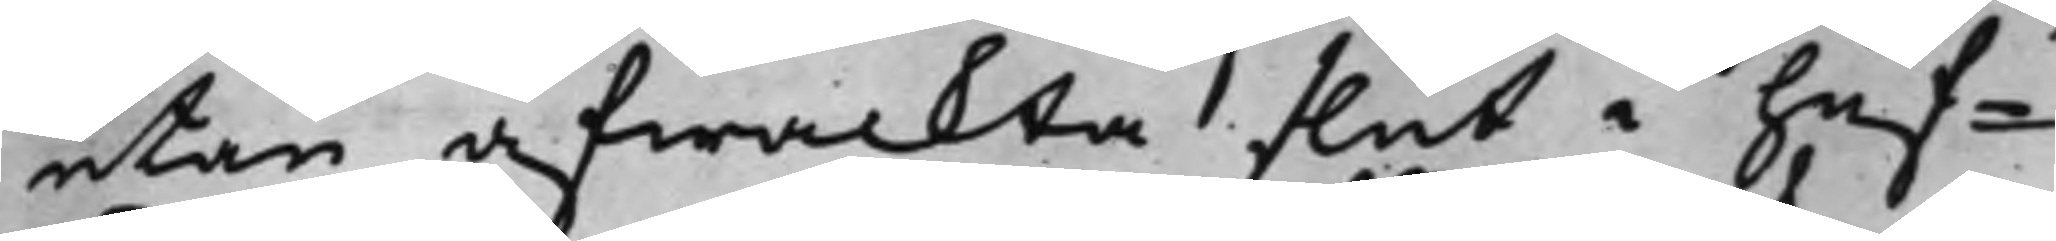utan afwackta slut i huf¬
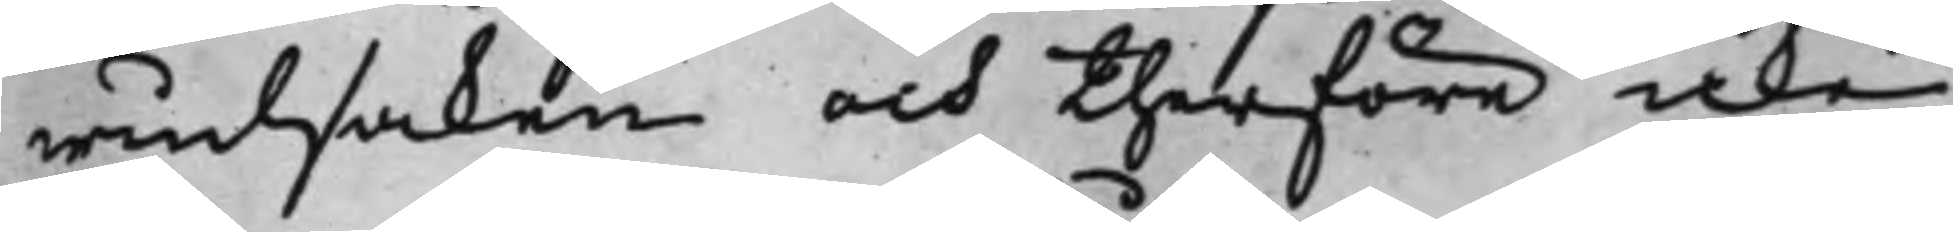wudsaken och therföre icke
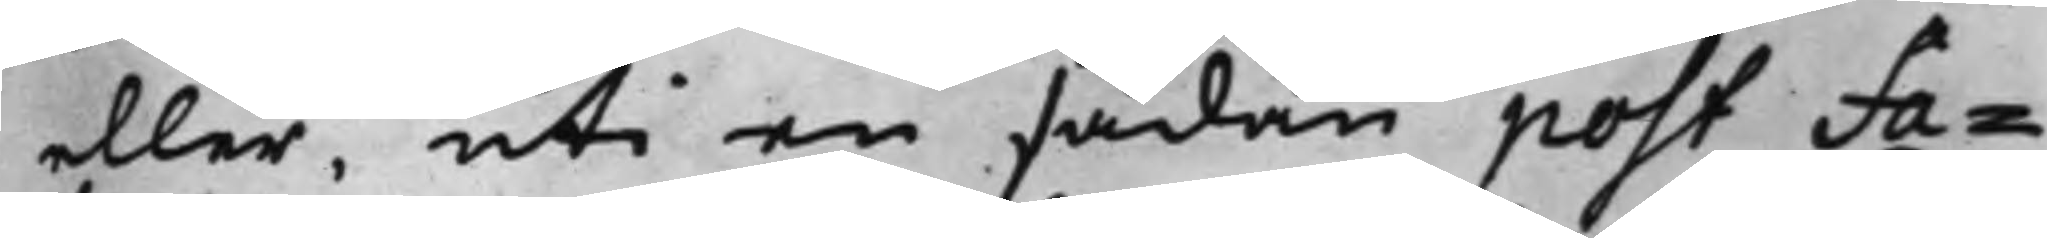eller, uti en sådan post Fa¬
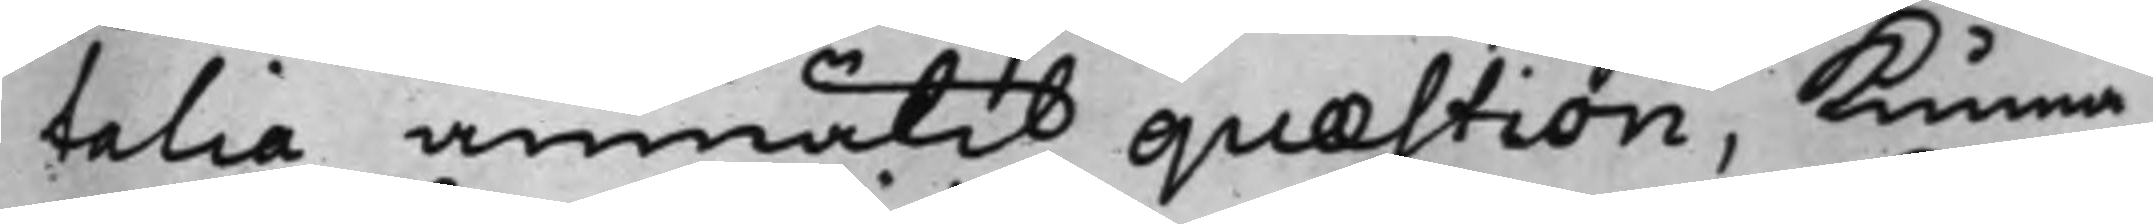talia anmälit quæstion, kunna
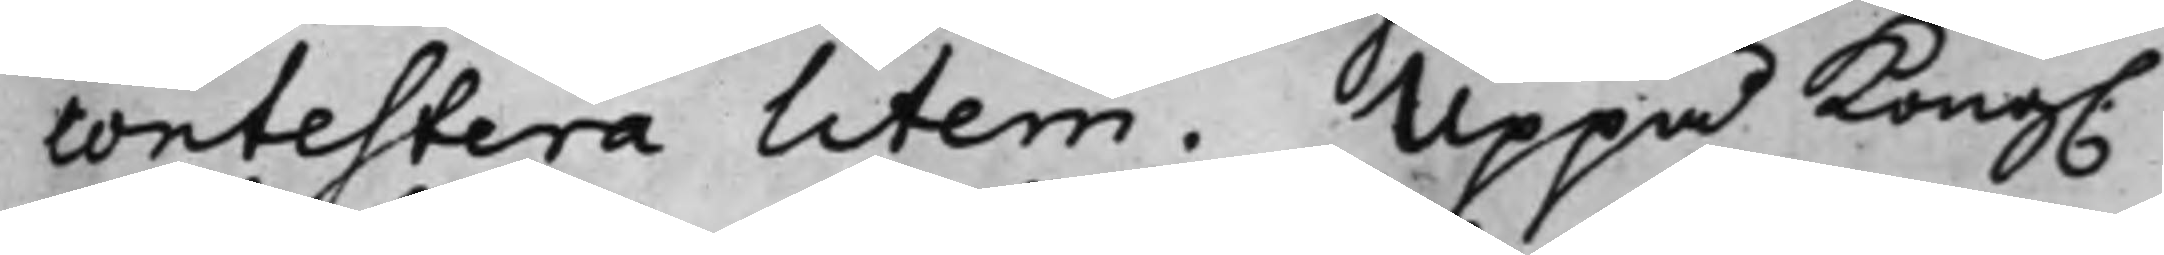contestera litem. Uppå Kong.
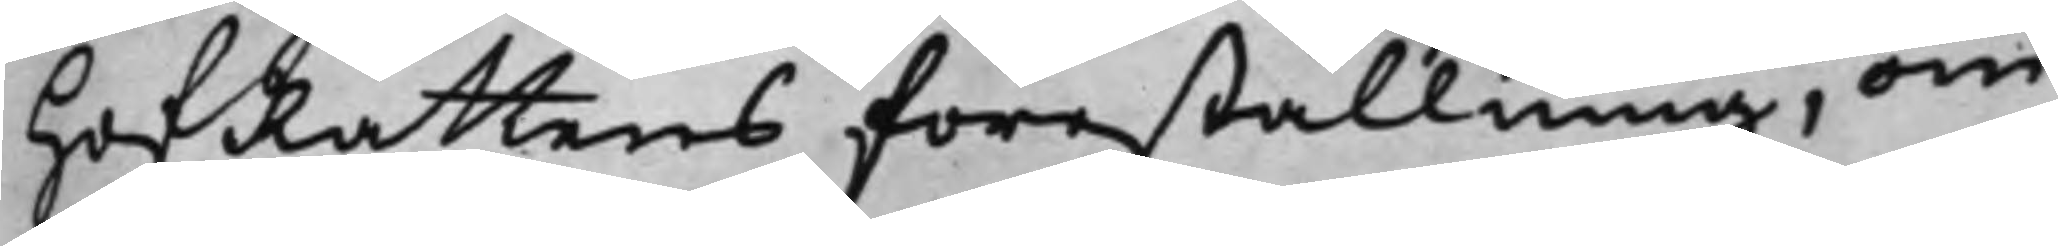HofRättens föreställning, om
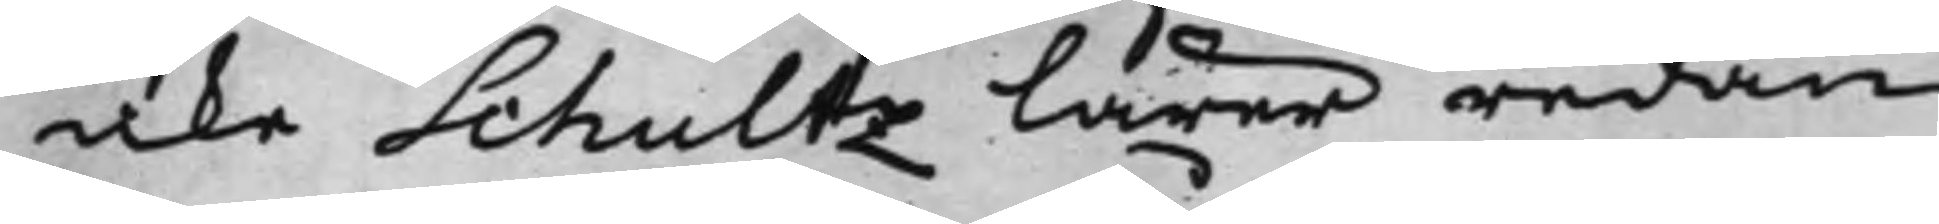icke Schultz lärer redan
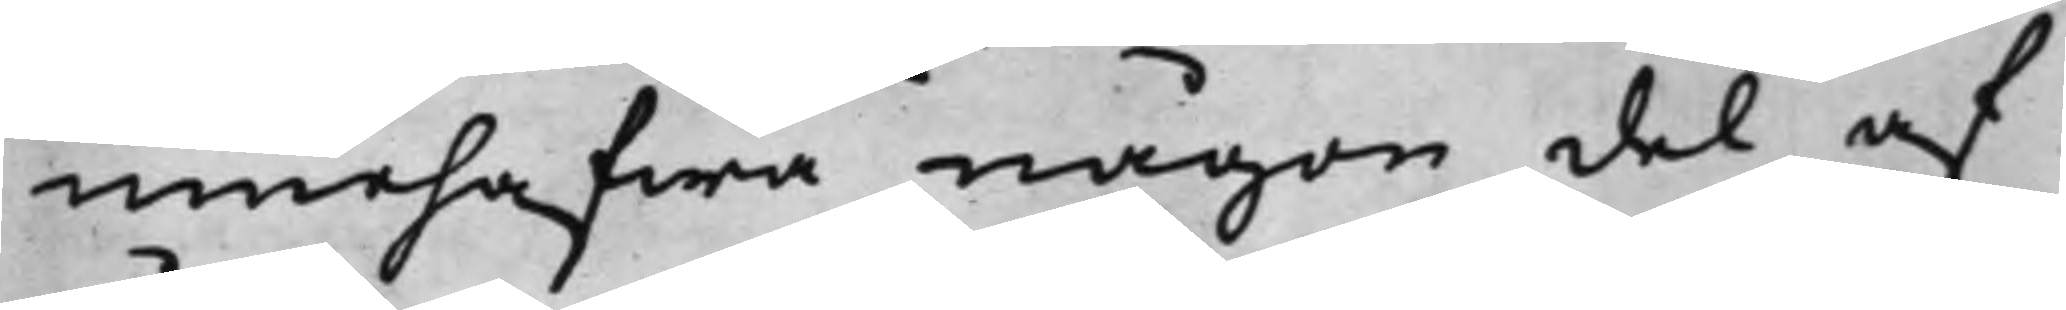innehafwa någon del af
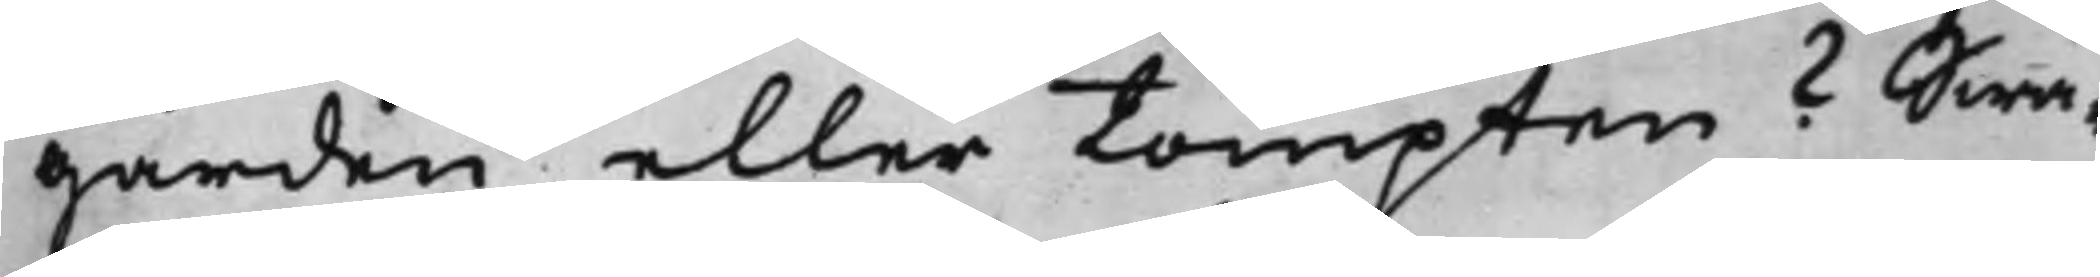gården eller tompten? Swa¬
